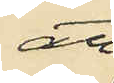att
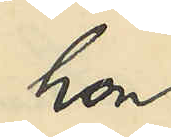hon
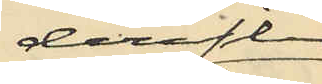derefter
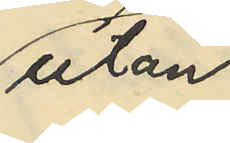utan
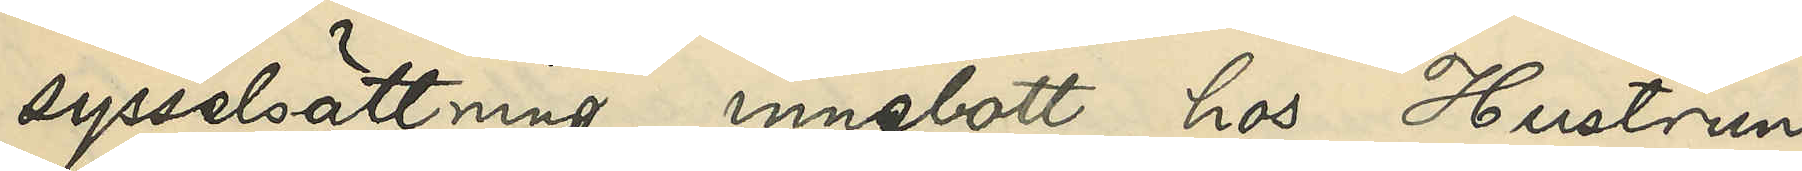sysselsättning innebott hos Hustrun
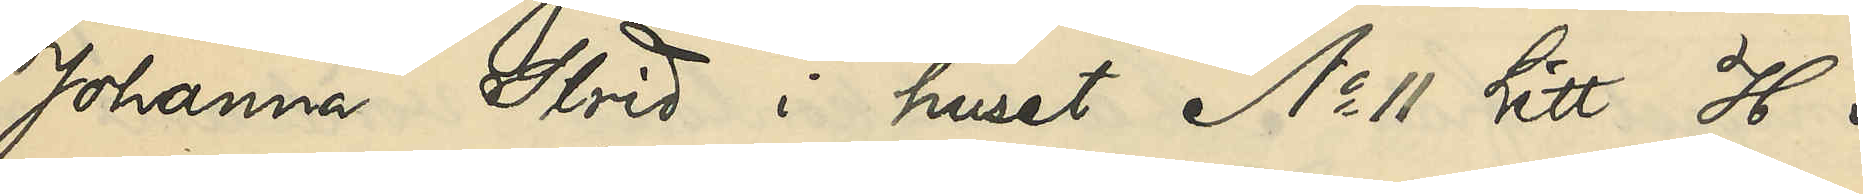Johanna Strid i huset No 11 Litt. H i
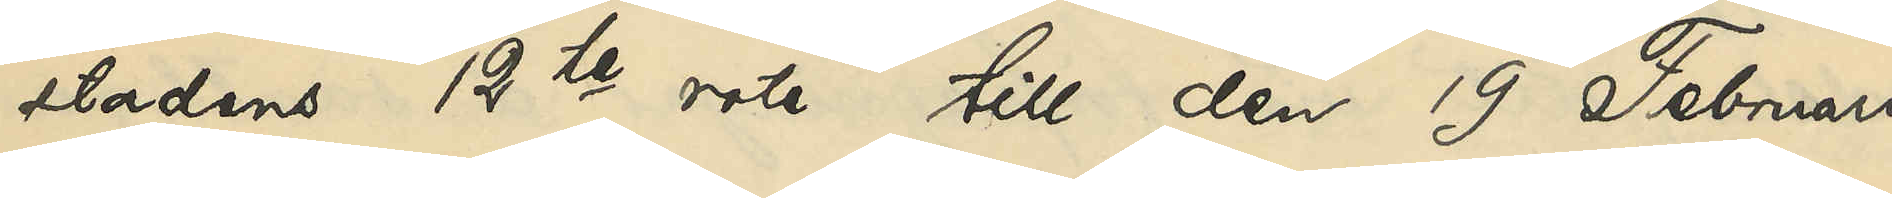stadens 12te rote till den 19 Februari
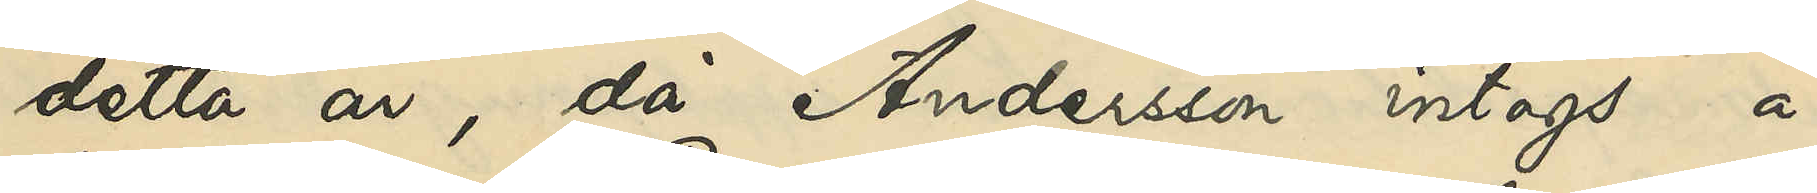detta år, då Andersson intogs å
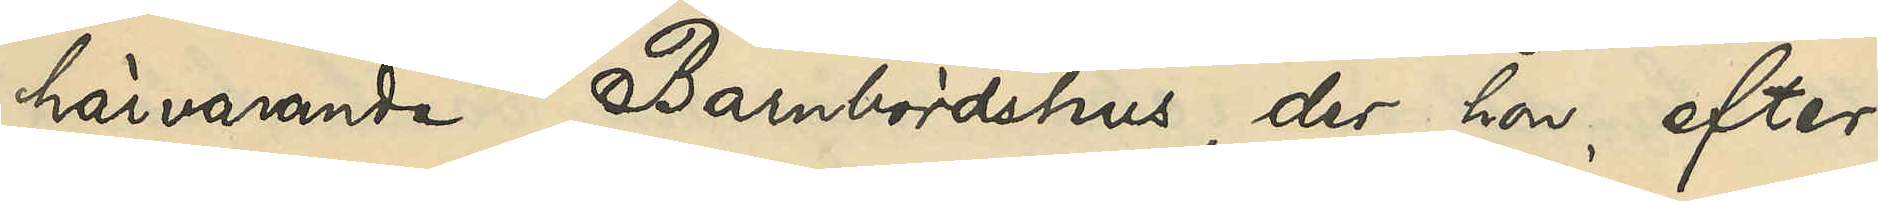härvarande Barnbördshus, der hon efter
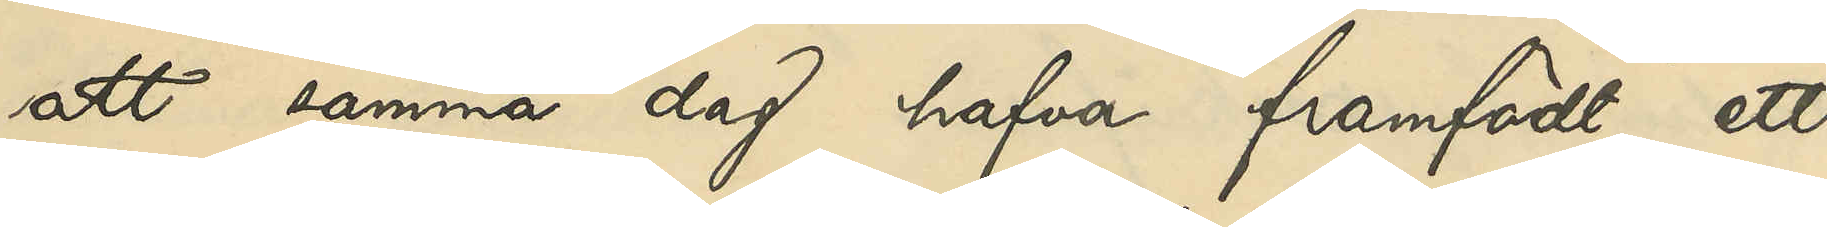att samma dag hafva framfödt ett
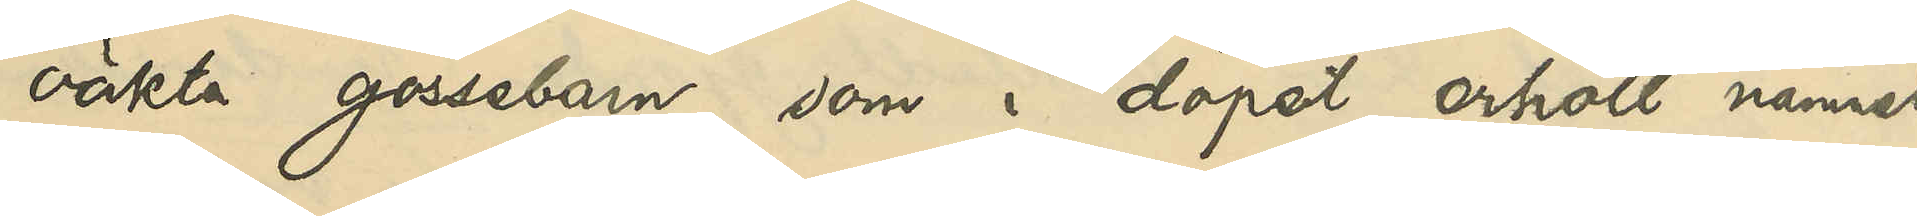oäkta gossebarn, som i dopet erhöll namnet
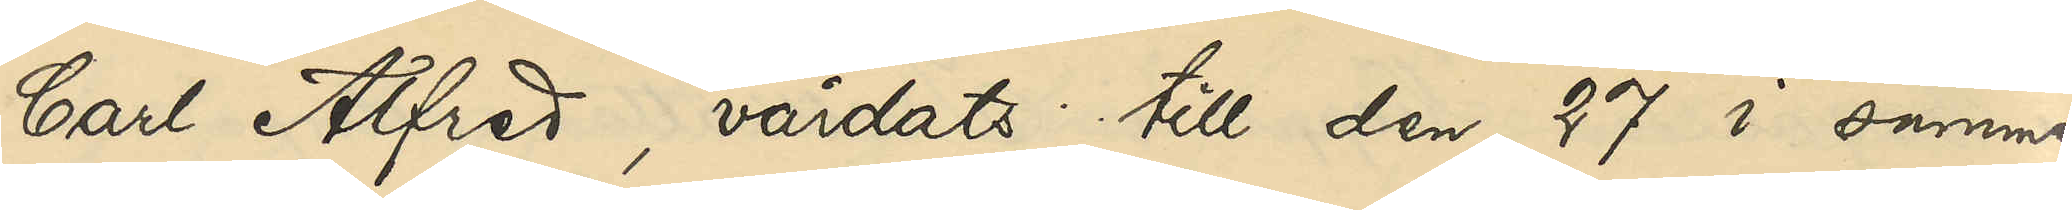Carl Alfred, vårdats till den 27 i samma
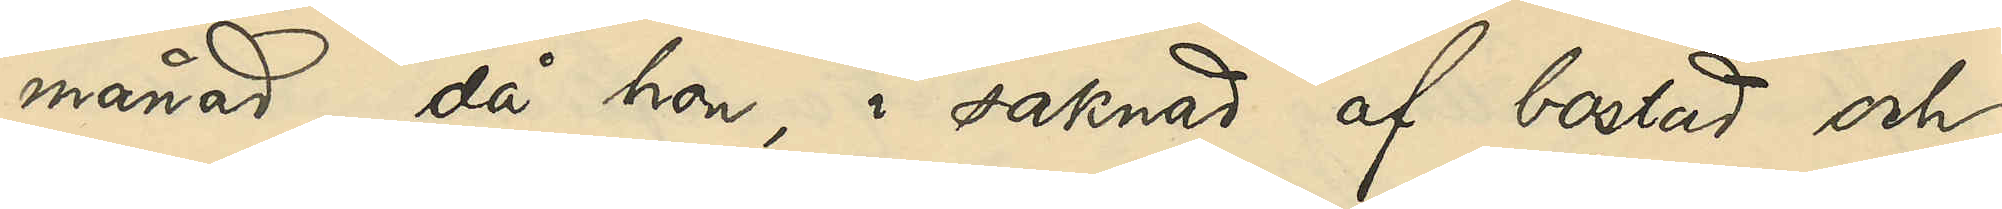månad, då hon, i saknad af bostad och
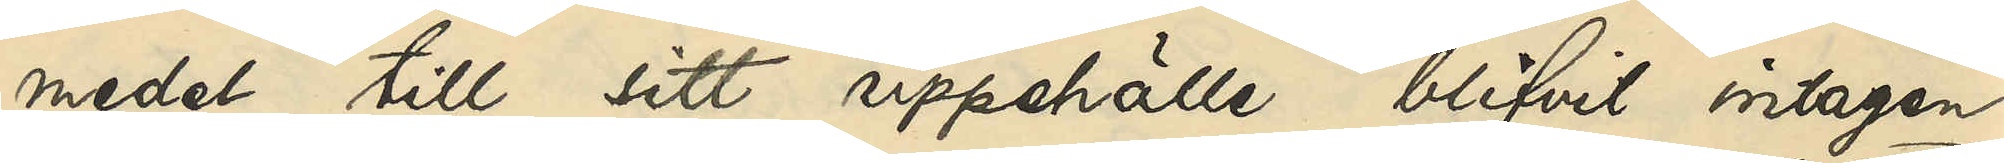medel till sitt uppehälle, blifvit intagen
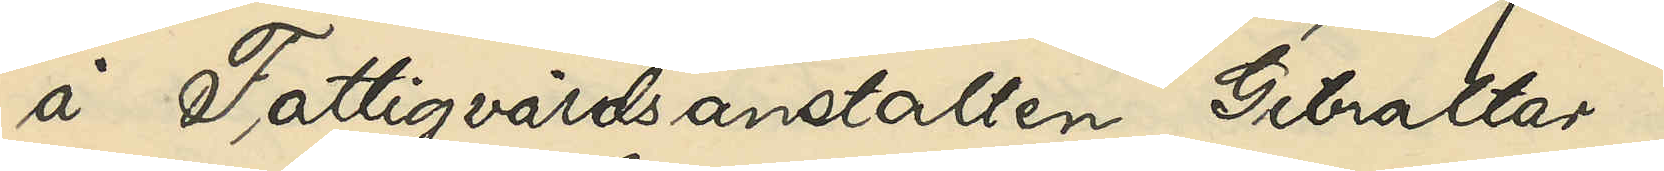å Fattigvårdsanstalten Gibraltar,
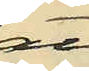att
